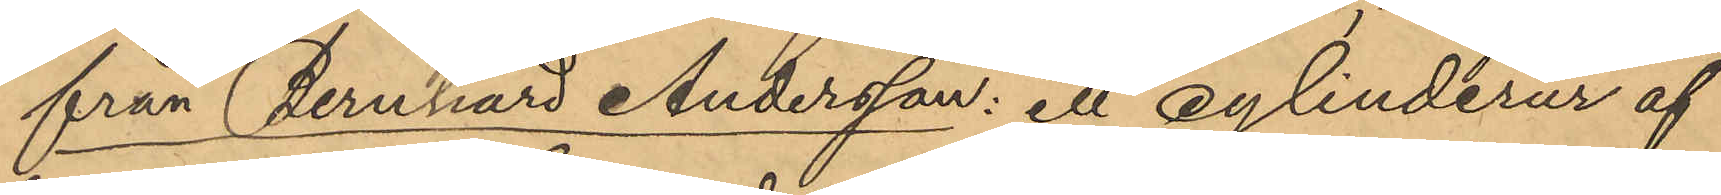från Bernhard Andersson: ett cylinderur af
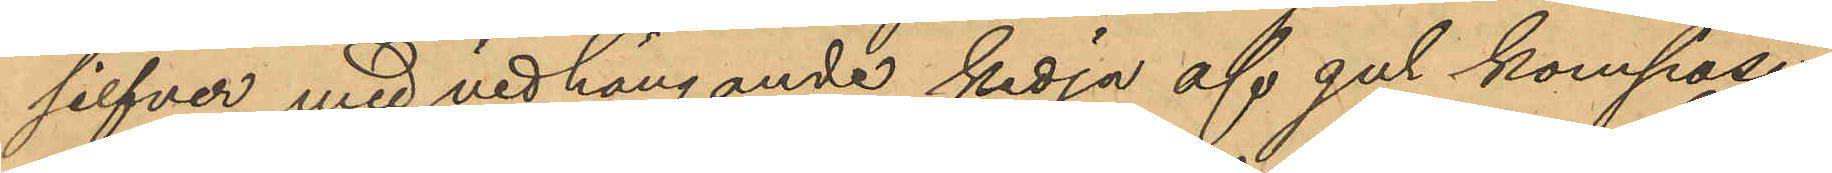silfver med nedhängande kedja af gul komposi¬
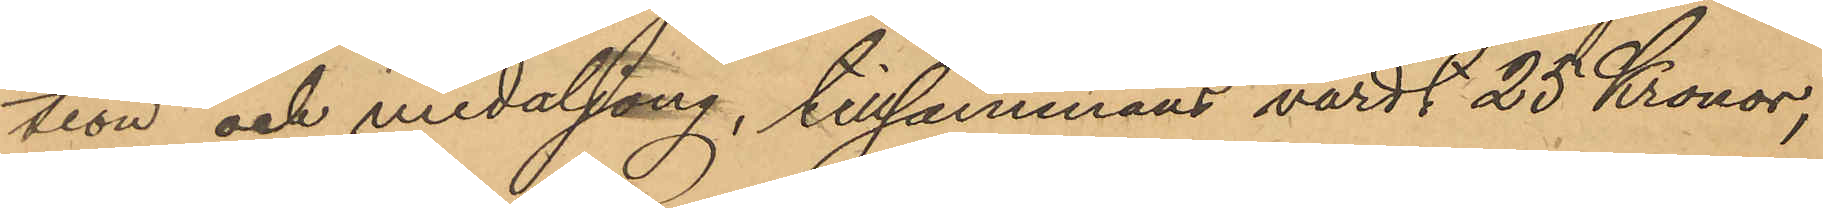tion och medaljong, tillsammans värdt 25 Kronor,
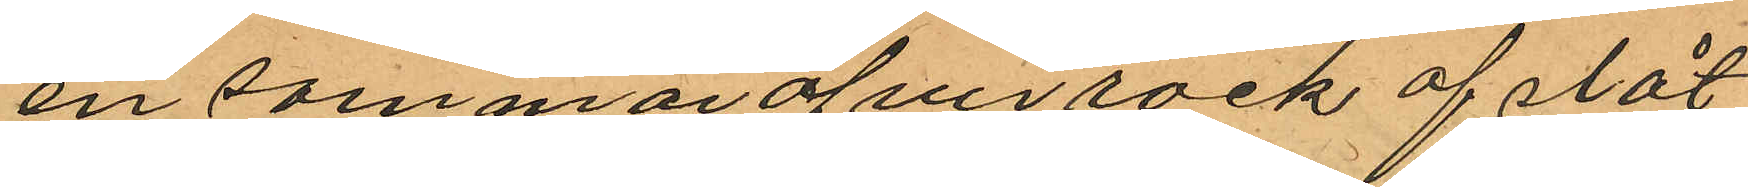en sommaröfverrock af slåt
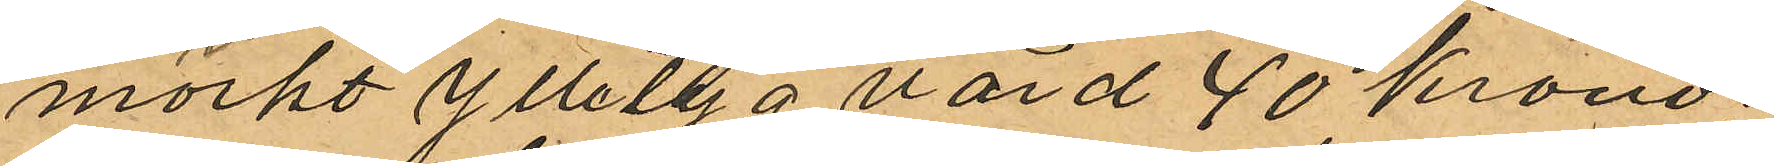mörkt ylletyg värd 40 kronor
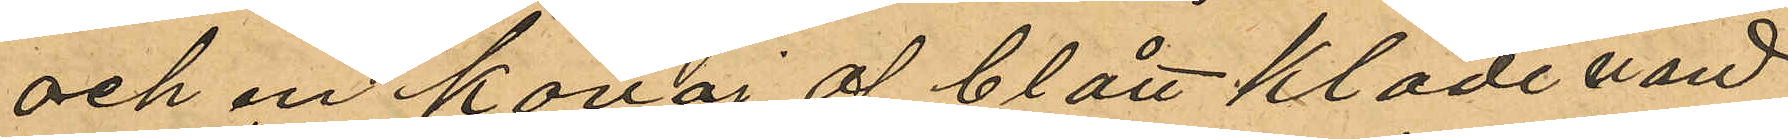och en kavaj af blått kläde värd
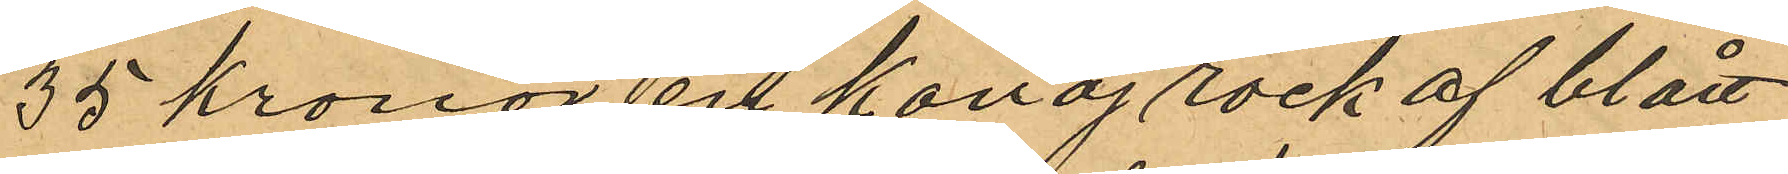35 kronor en Kavaj rock af blått
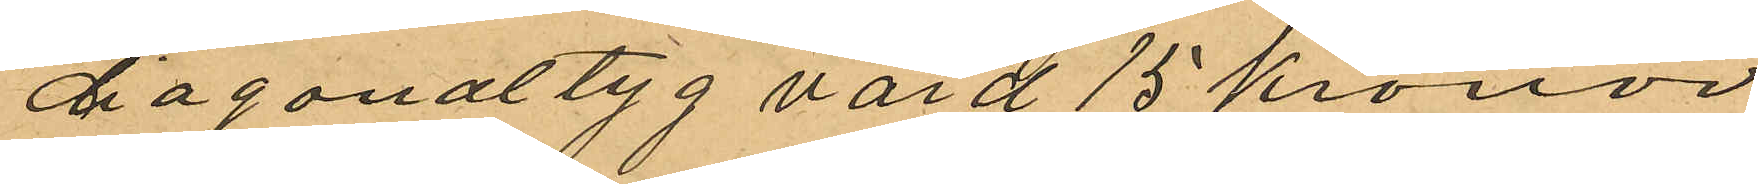diagonaltyg värd 15 kronor
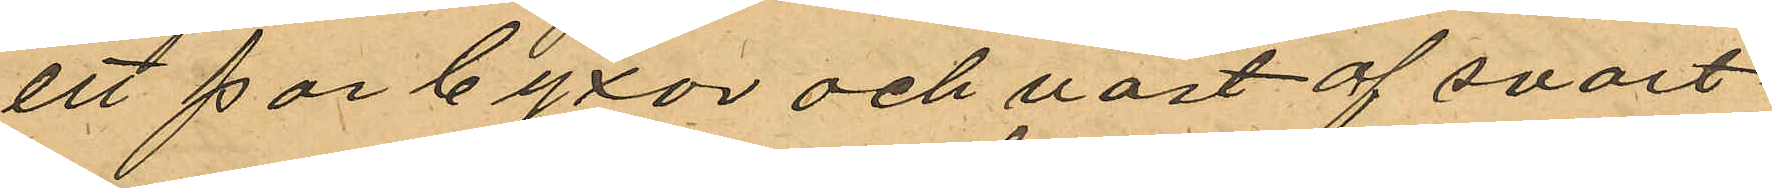ett par byxor och väst af svart
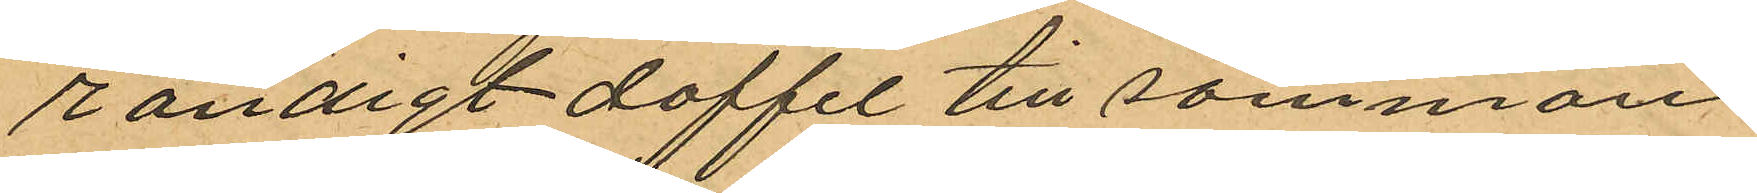randigt doffel till sammans
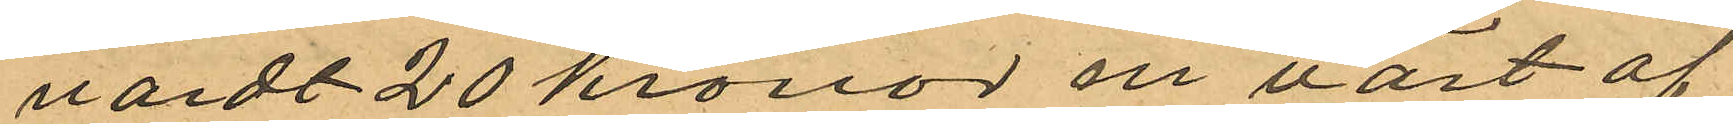vardt 20 kronor en väst af
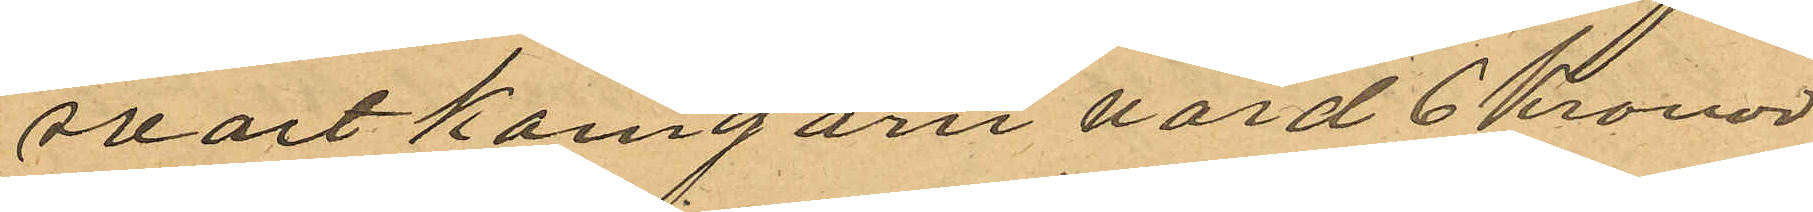svart kamgarn värd 6 Kronor
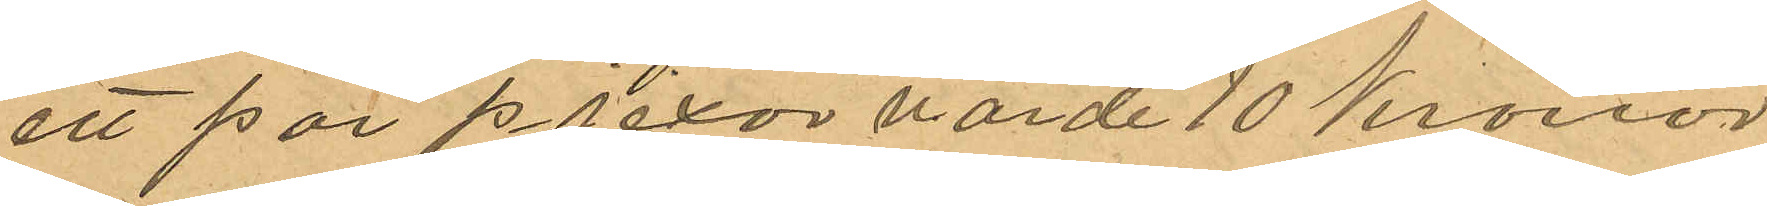ett par pjexor värde 10 Kronor
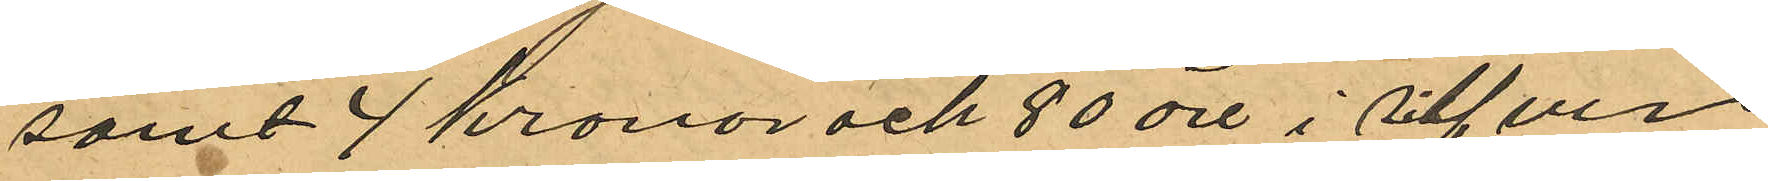samt 4 kronor och 80 öre i silfver
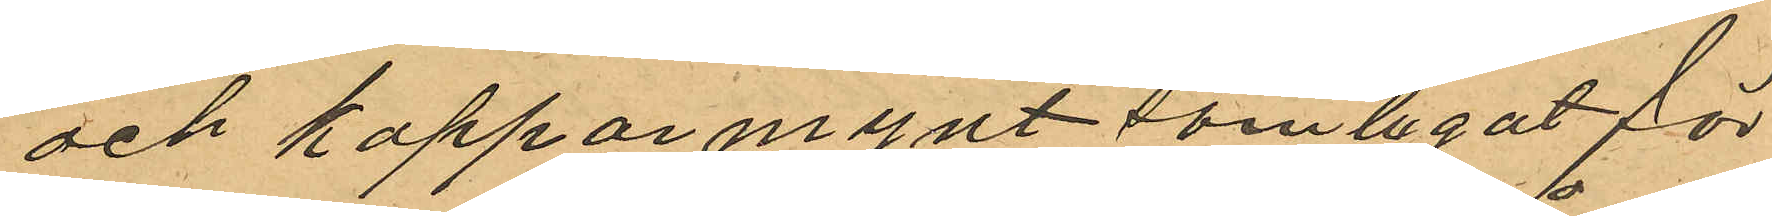och koppar mynt som legat för¬
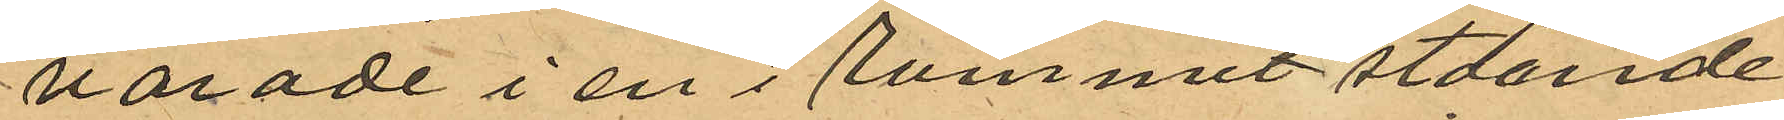varade i en i rummet stående
